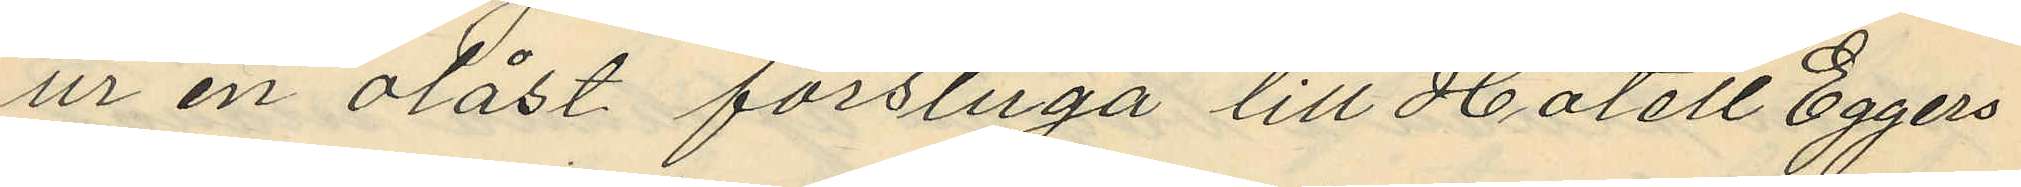ur en olåst förstuga till Hotell Eggers
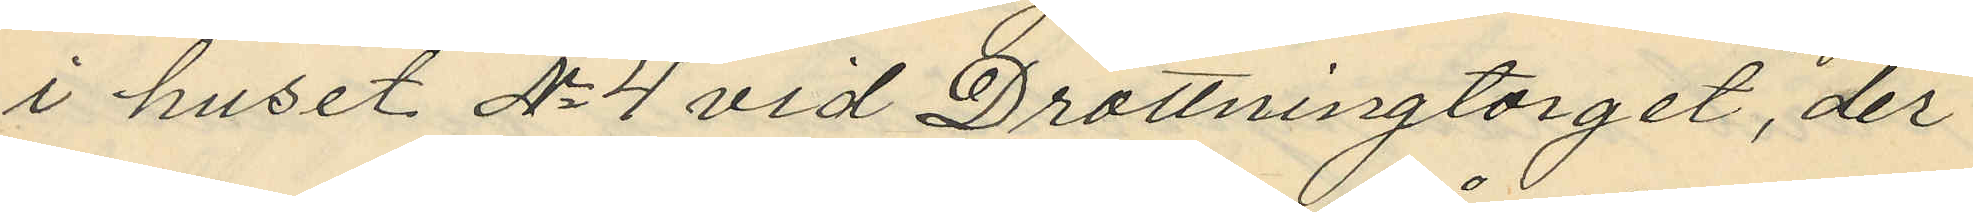i huset No 4 vid Drottningtorget, der
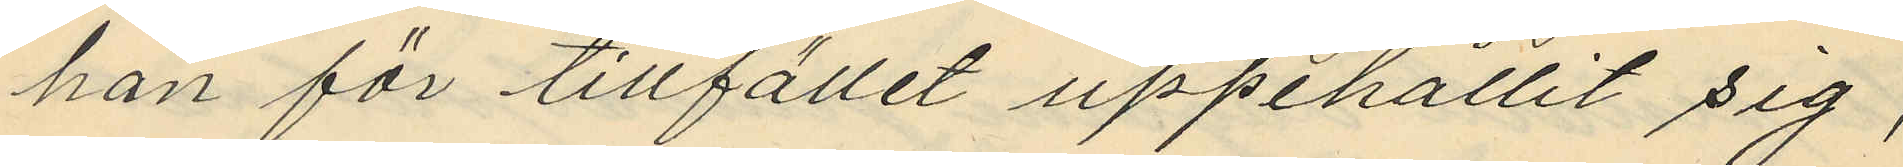han för tillfället uppehållit sig,
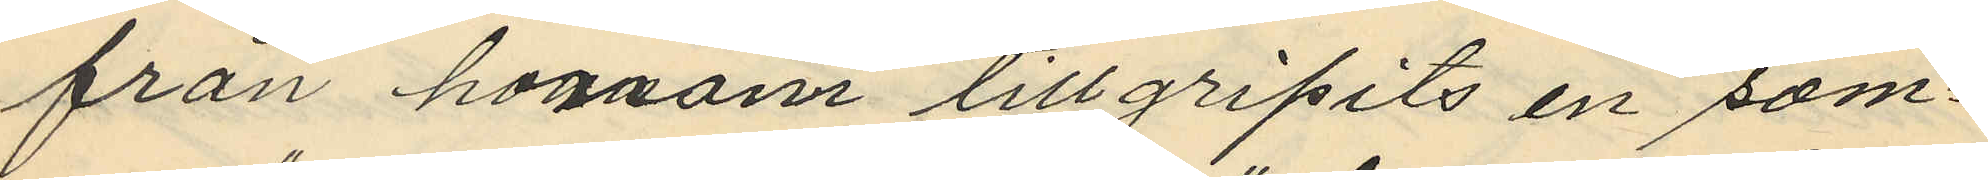från honnom tillgripits en som¬
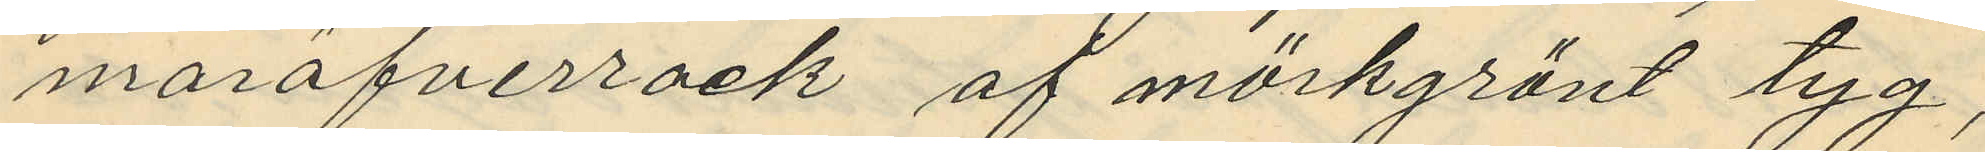maröfverrock af mörkgrönt tyg,
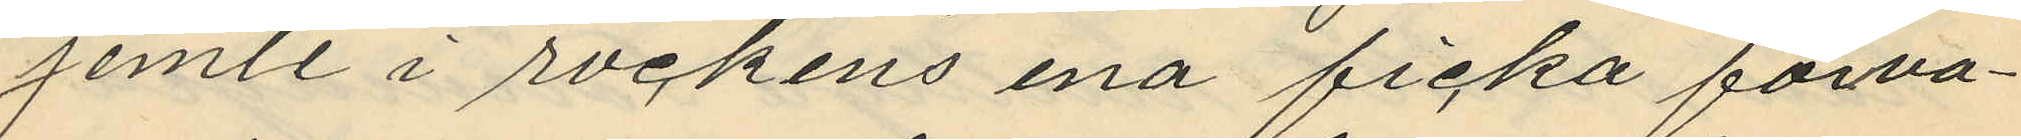jemte i rockens ena ficka förva¬
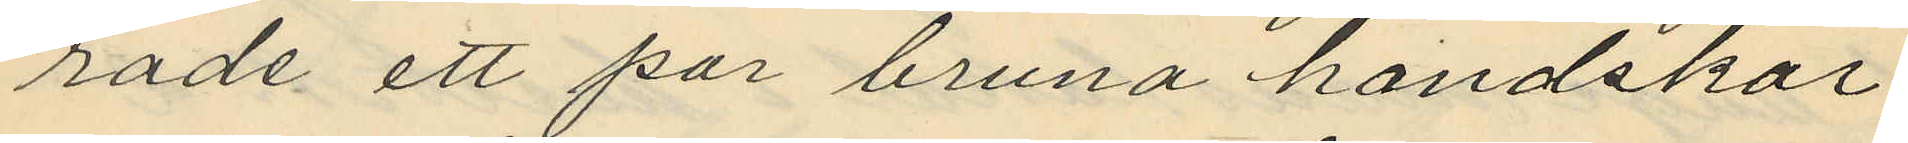rade ett par bruna handskar
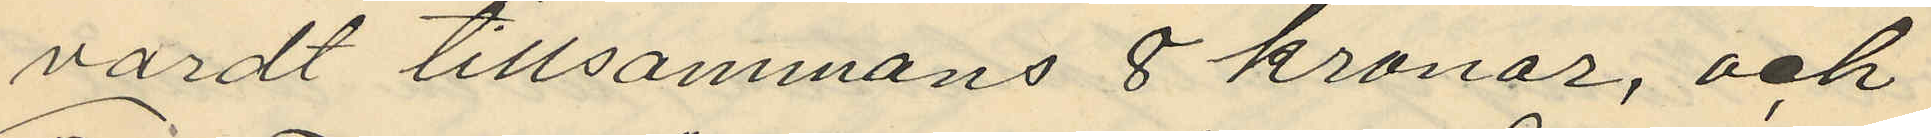värdt tillsammans 8 kronor, och
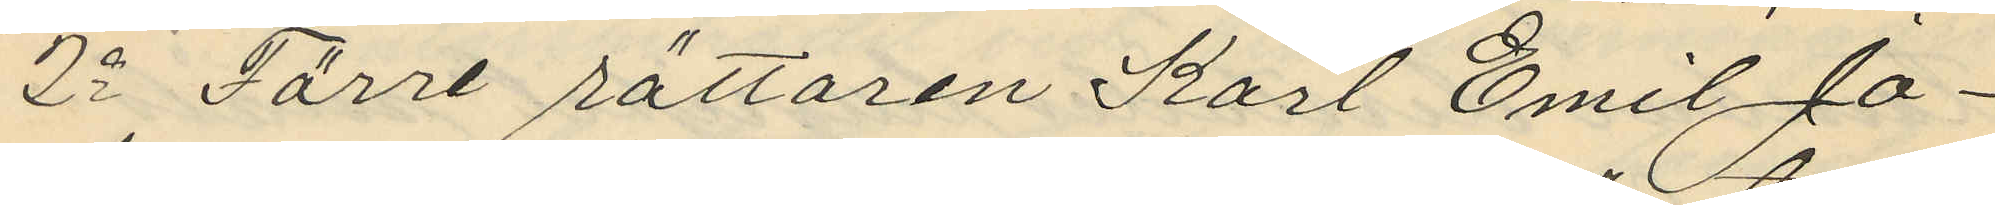2o Förre rättaren Karl Emil Jo¬
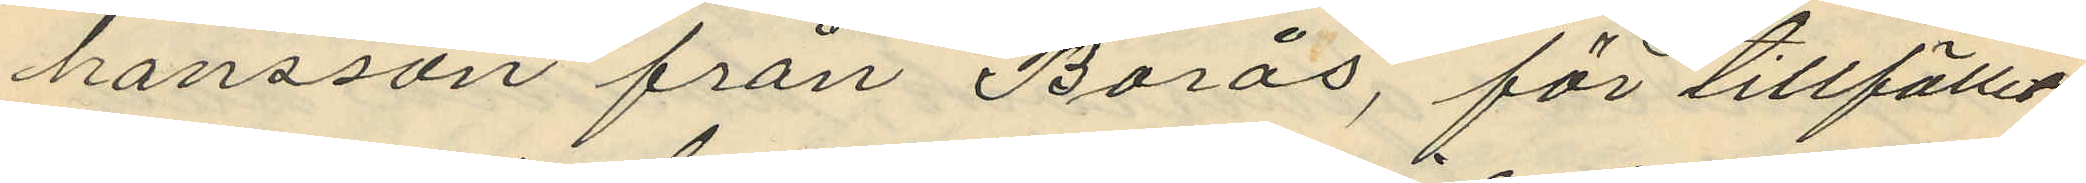hansson från Borås, för tillfället
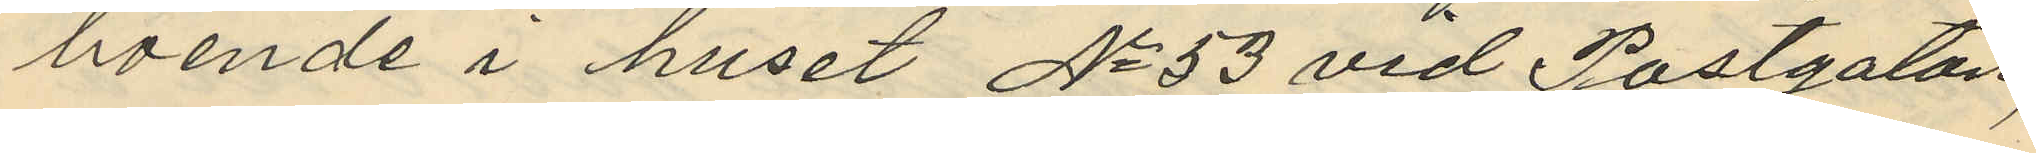boende i huset No 53 vid Postgatan,
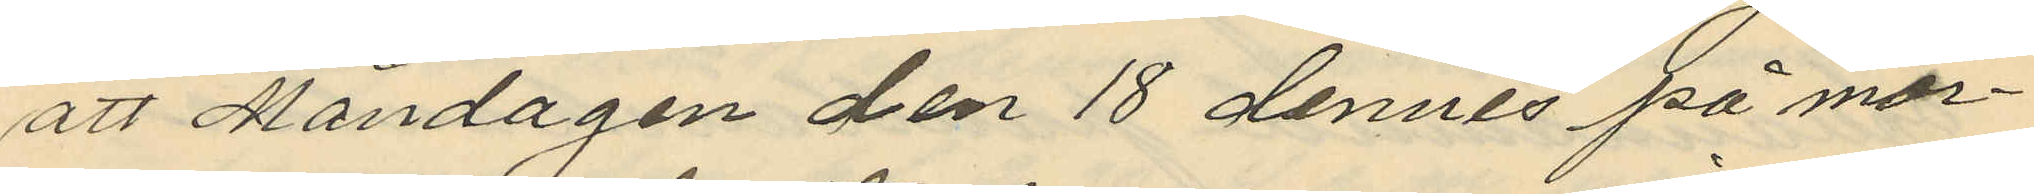att Måndagen den 18 dennes på mor¬
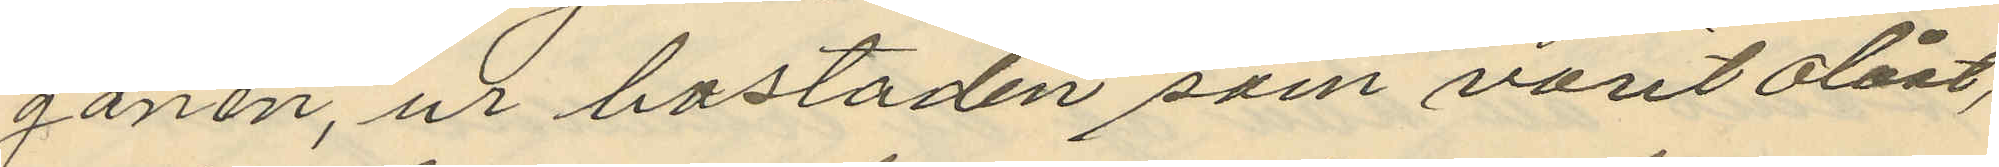gonen, ur bostaden som varit olåst,
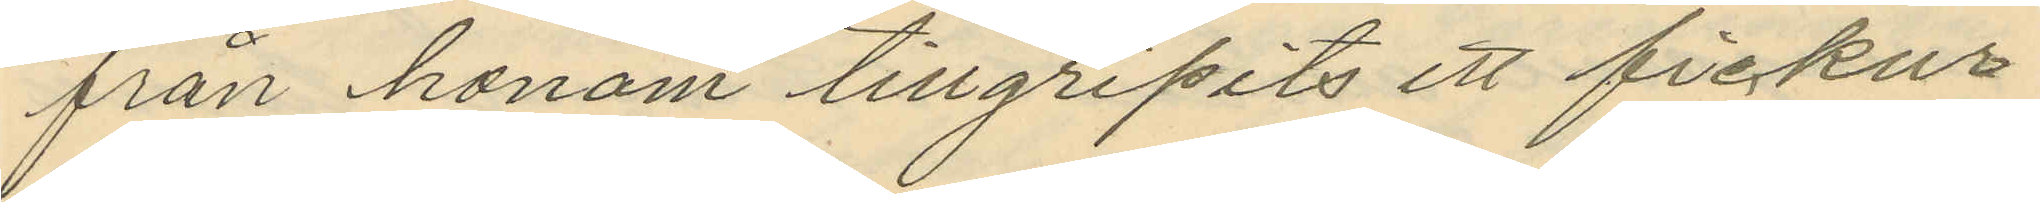från honom tillgripits ett fickur
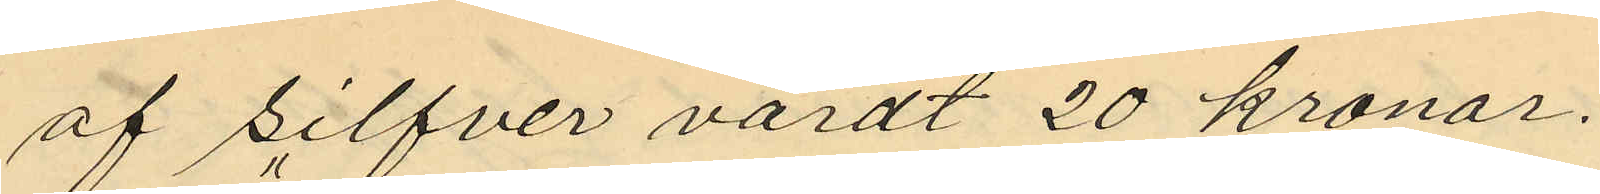af silfver värdt 20 kronor.
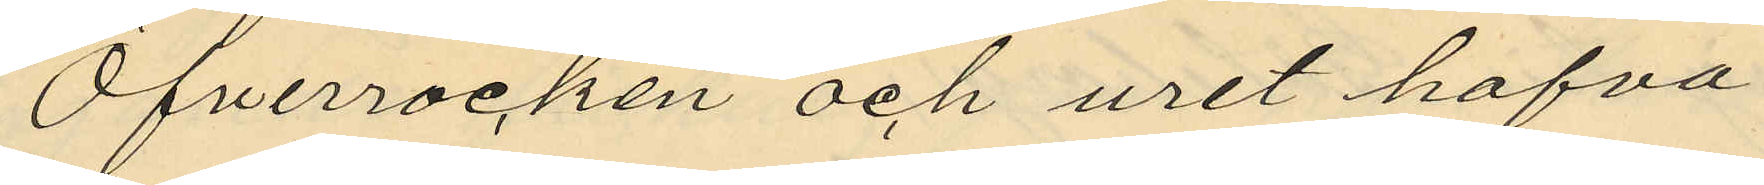Öfverrocken och uret hafva
